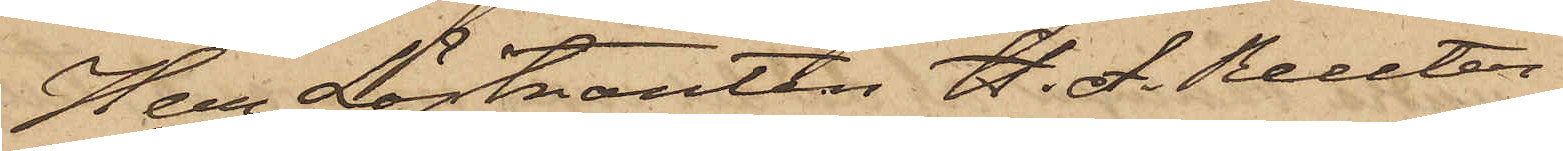Herr Löjtnanten H. A. Reuter¬
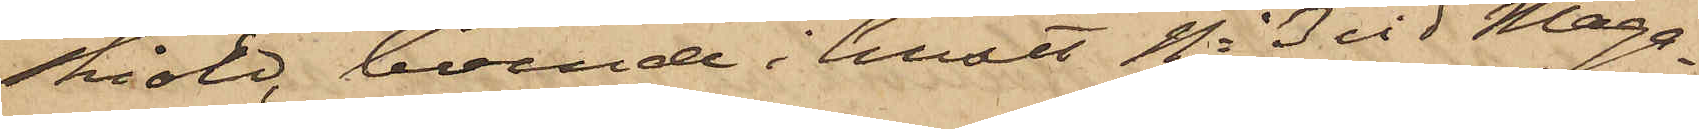sköld, boende i huset No 3 vid Maga¬
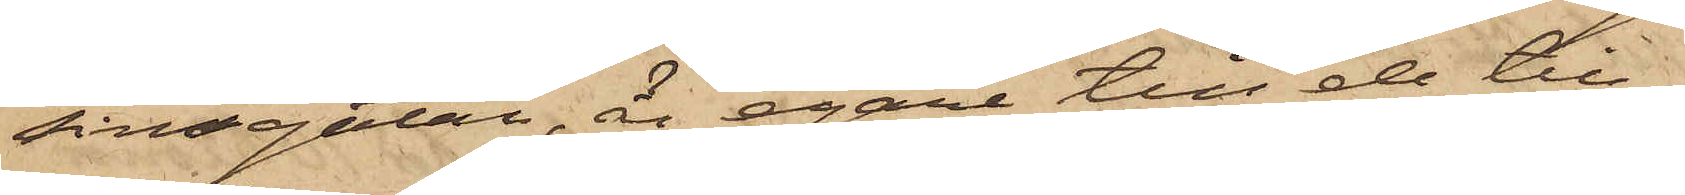sinsgatan, å egare till de till¬
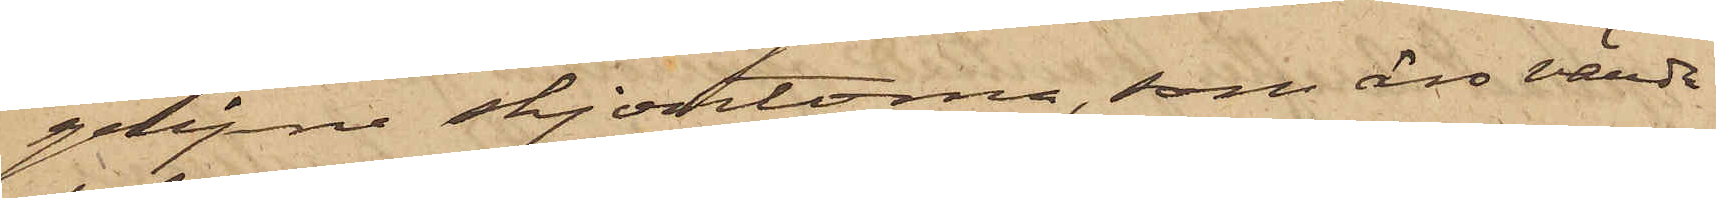gripne skjortorna, som äro värda
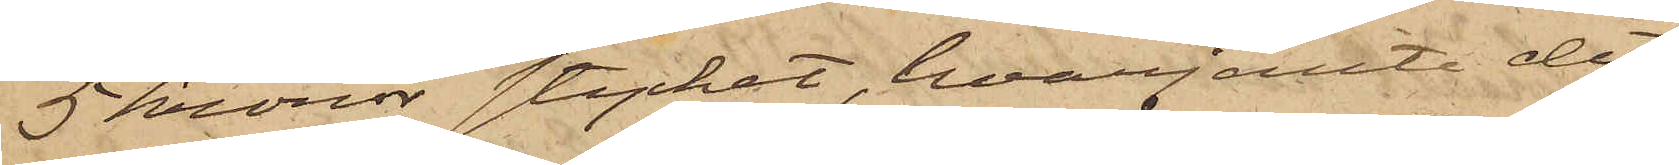5 kronor stycket, hvarjemte det
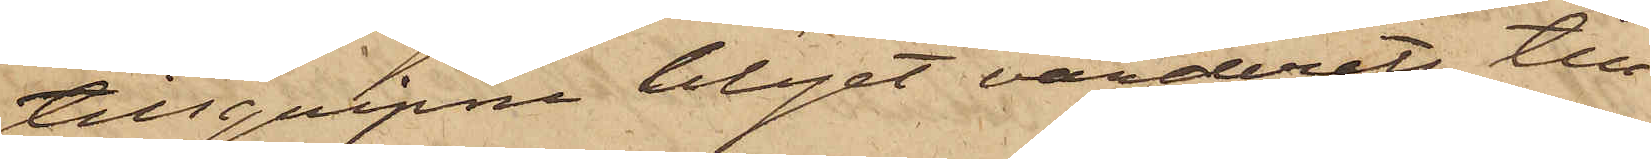tillgripne blyet värderats till
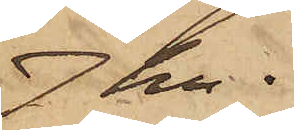7 kr.
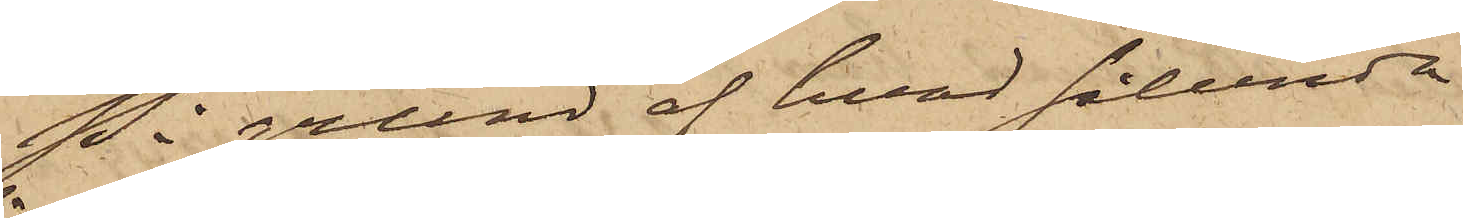På grund af hvad sålunda
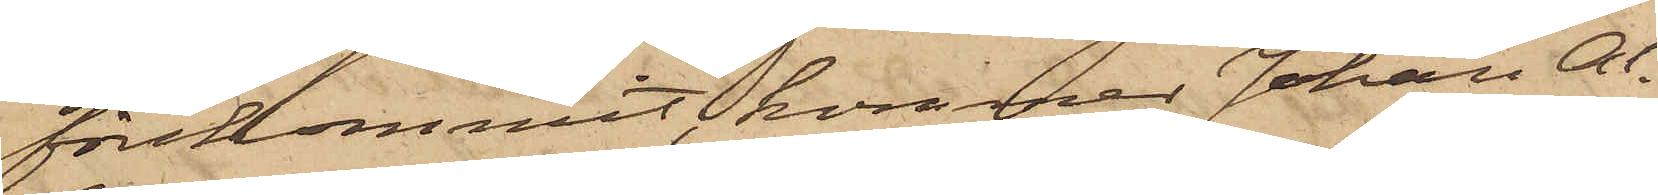förekommit, kommer Johan Al¬
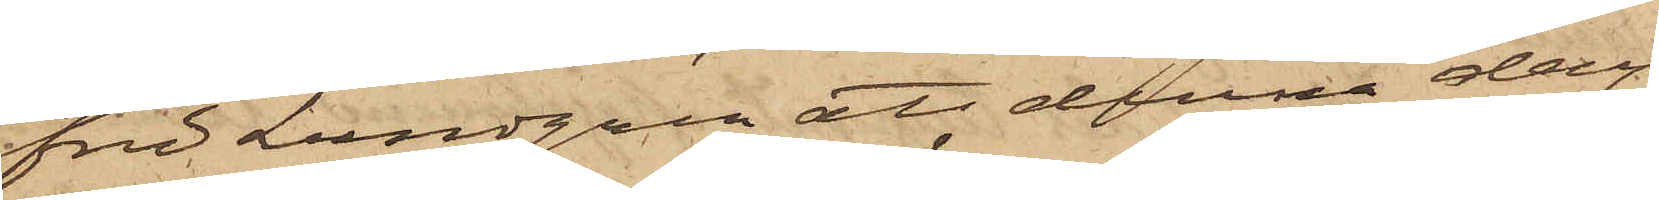fred Lundgren att denna dag
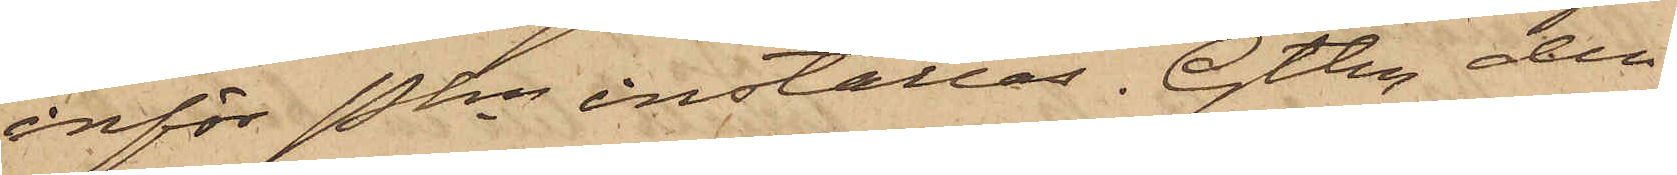inför Pkn inställas. Gtbg den
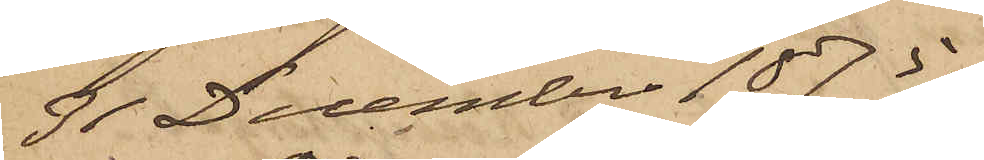31 December 1875.
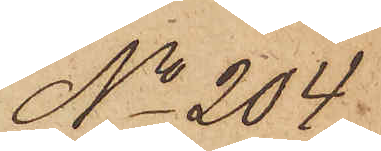No 204.
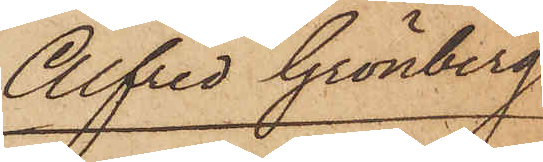Alfred Grönberg
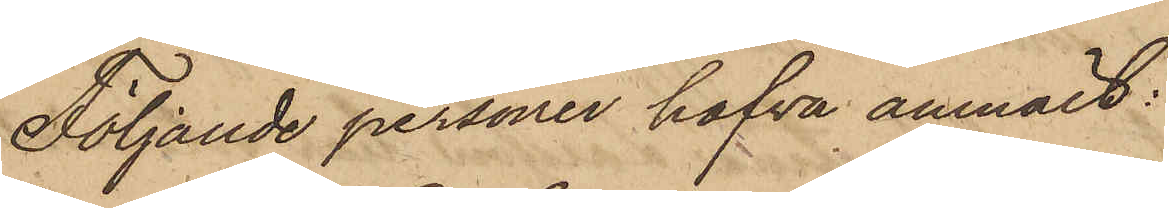Följande personer hafva anmält:
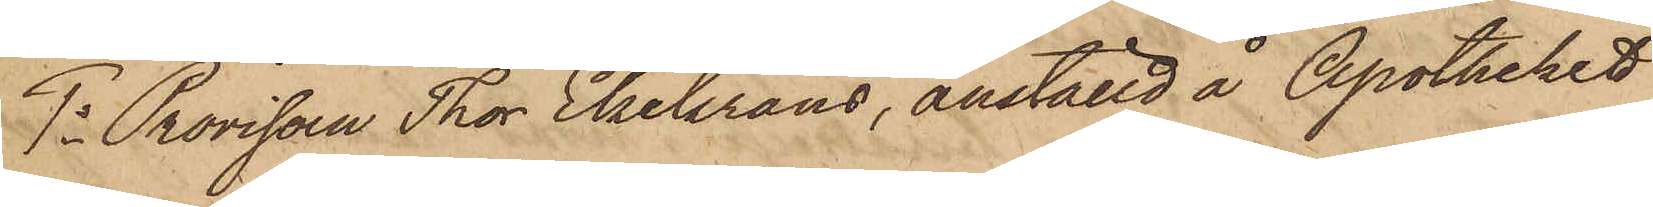1o Provisorn Thor Ekekrans, anställd å Apotheket
